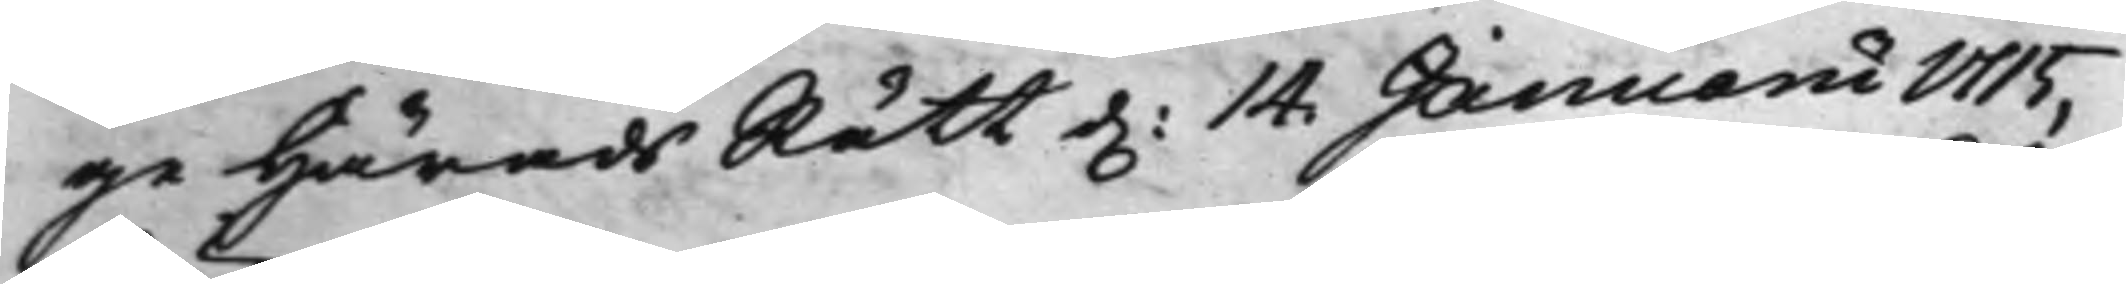ge HäradsRätt d. 14 Januarii 1715,
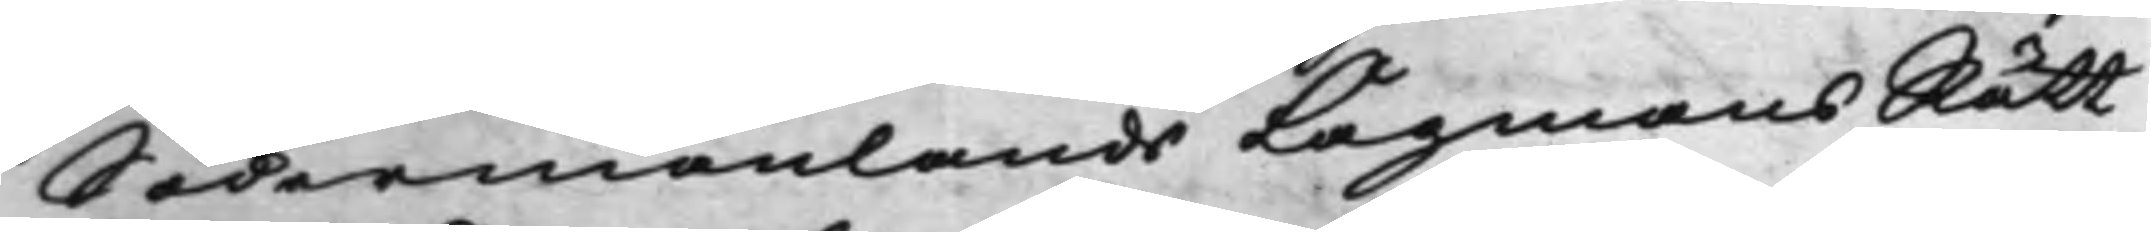Södermanlands LagmansRätt
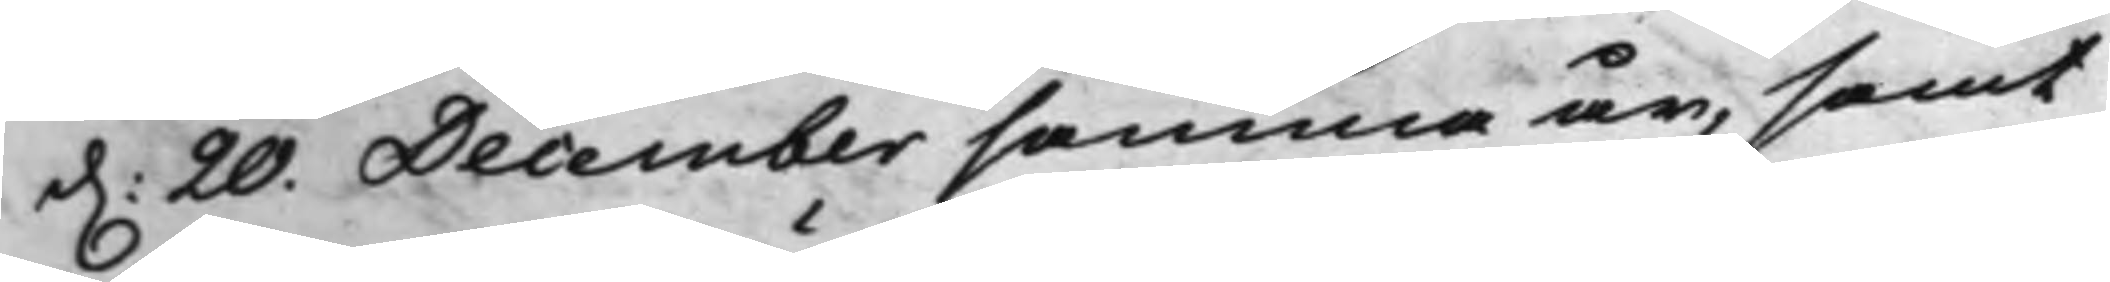d. 20. December samma år, samt
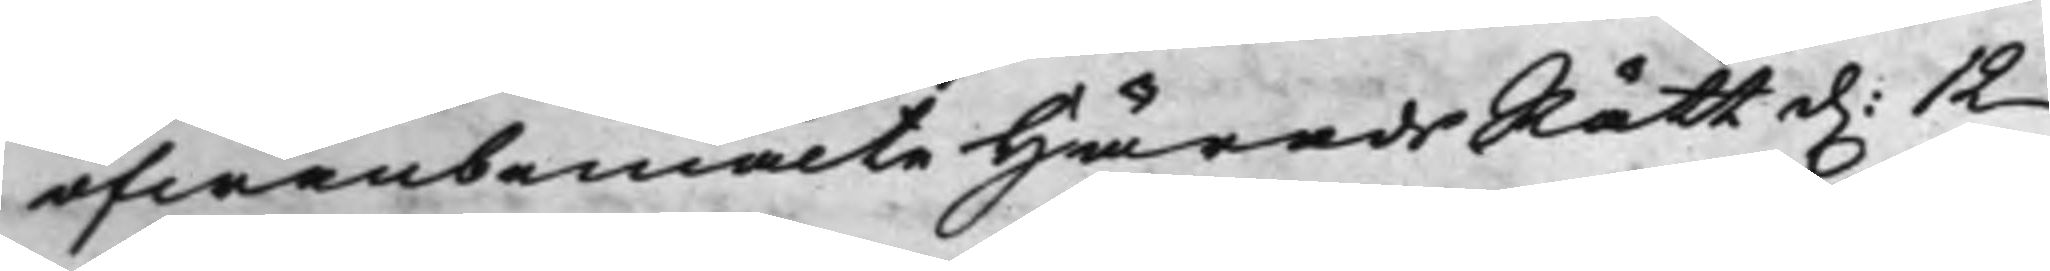ofwanbemälte HäradsRätt d. 12
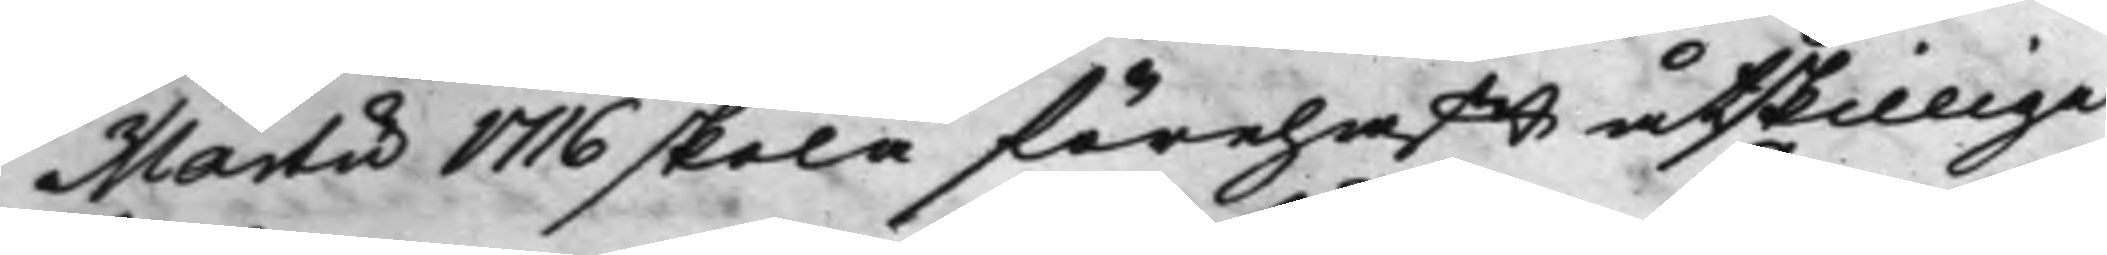Martii 1716 skola förehafft åtskillige
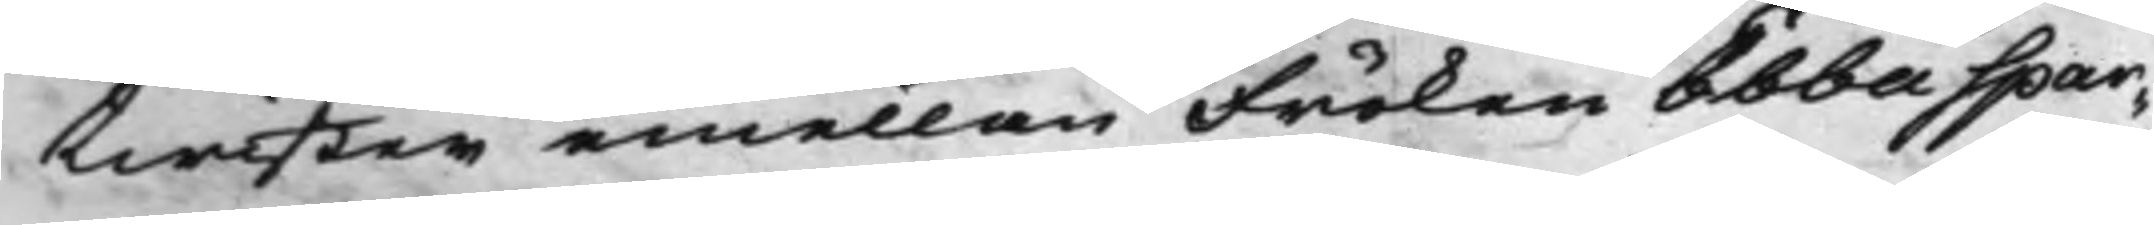twister emellan Fröken Ebba Spar¬
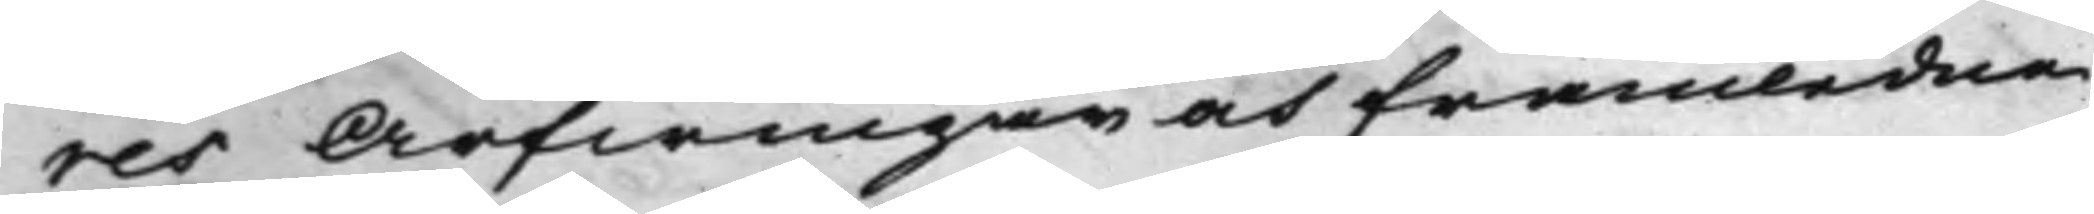res Arfwingar och framledne
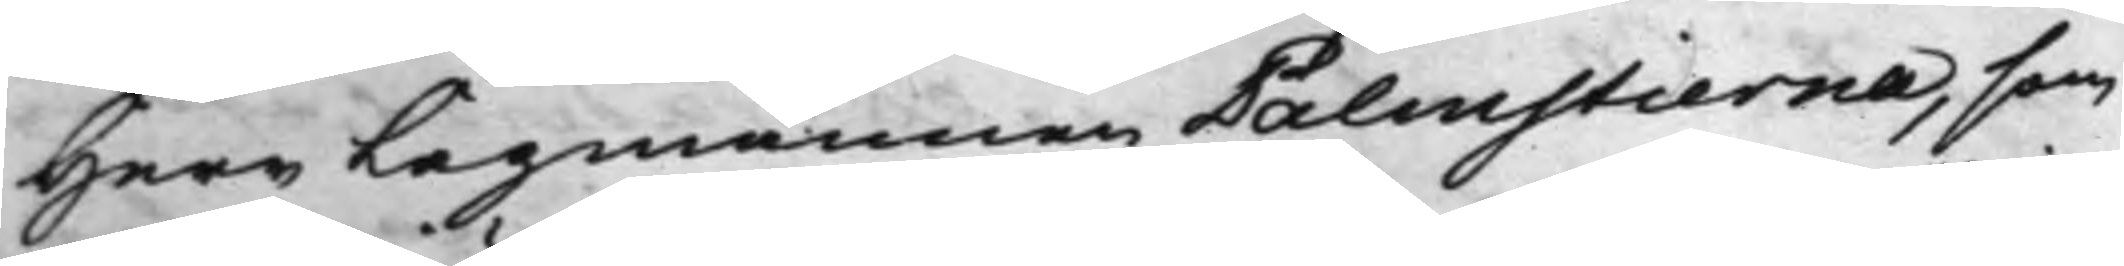Herr Lagmannen Palmstierna, som
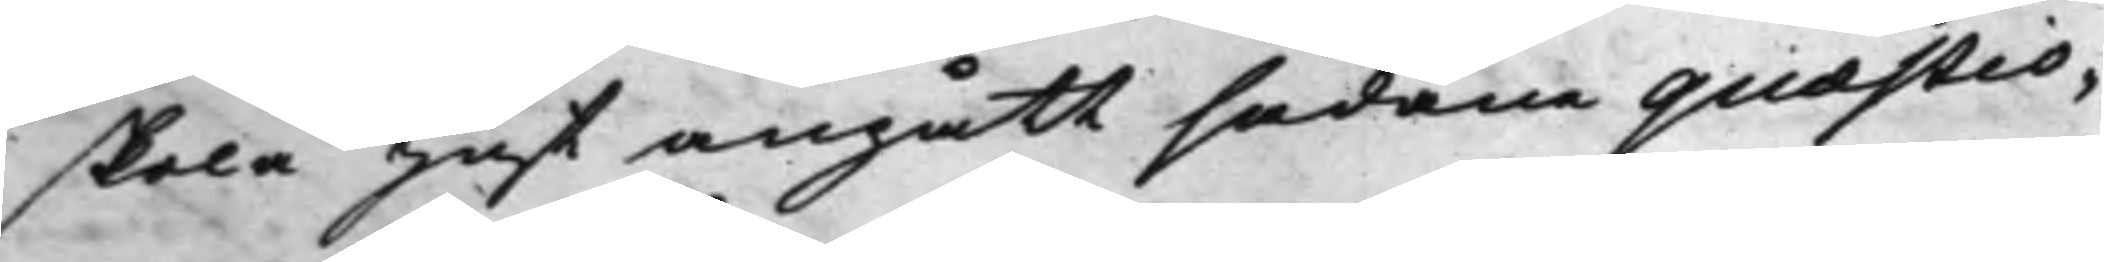skola just angått sådane quæstio¬
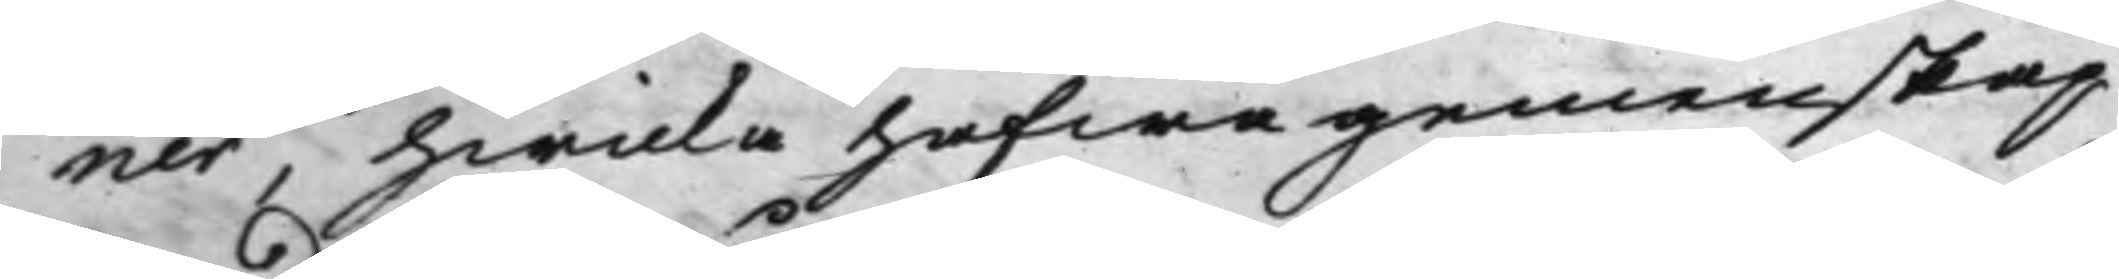ner, hwilka hafwa gemenskap
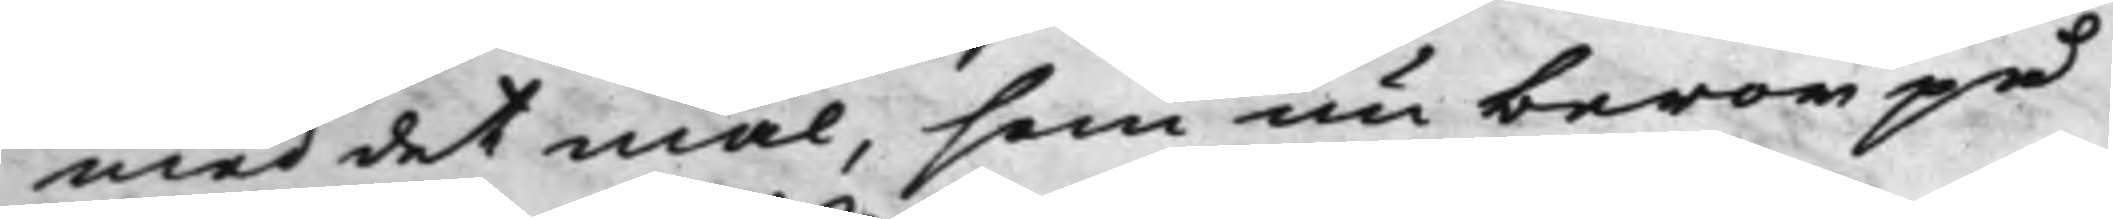med det mål, som nu beror på
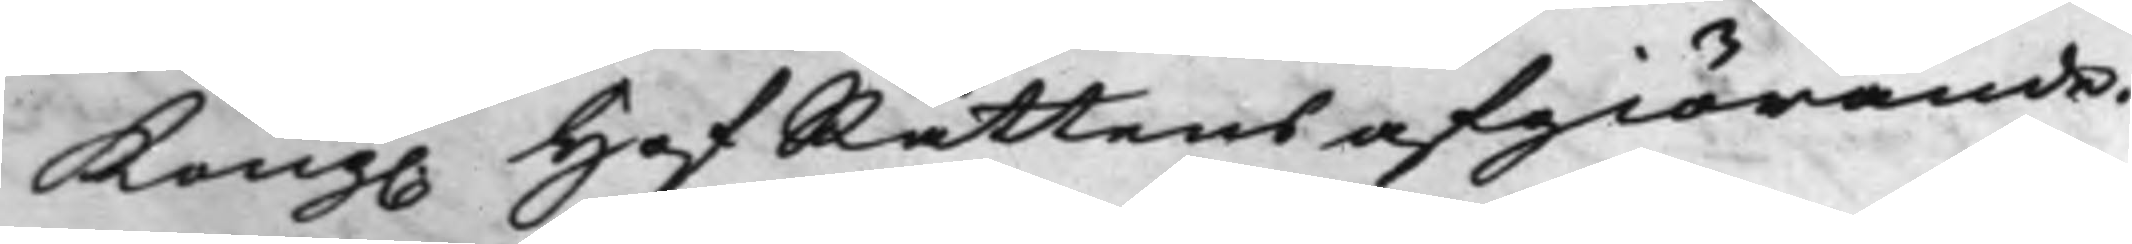Kong. HofRättens afgiörande.
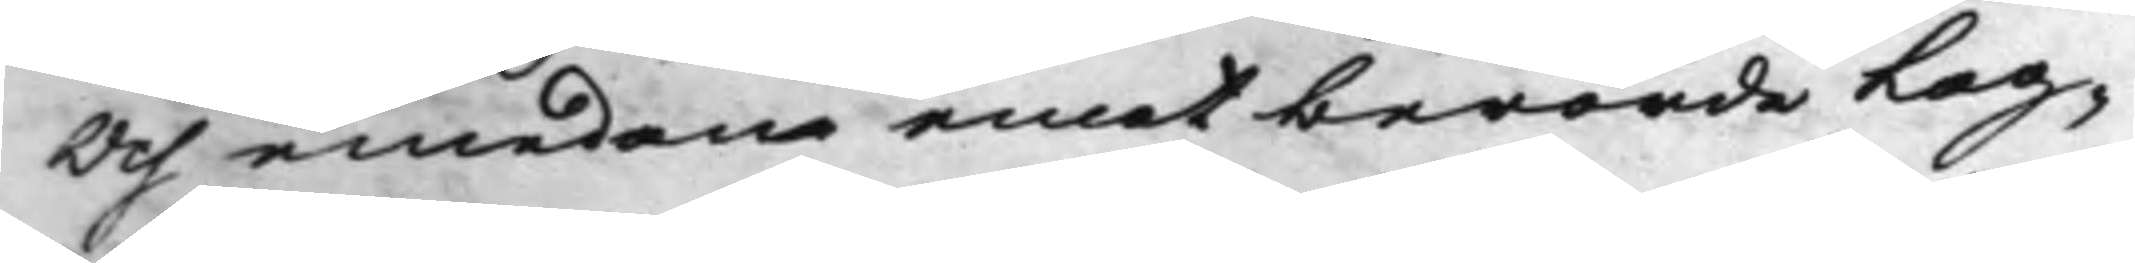Och emedan emot berörde Lag¬
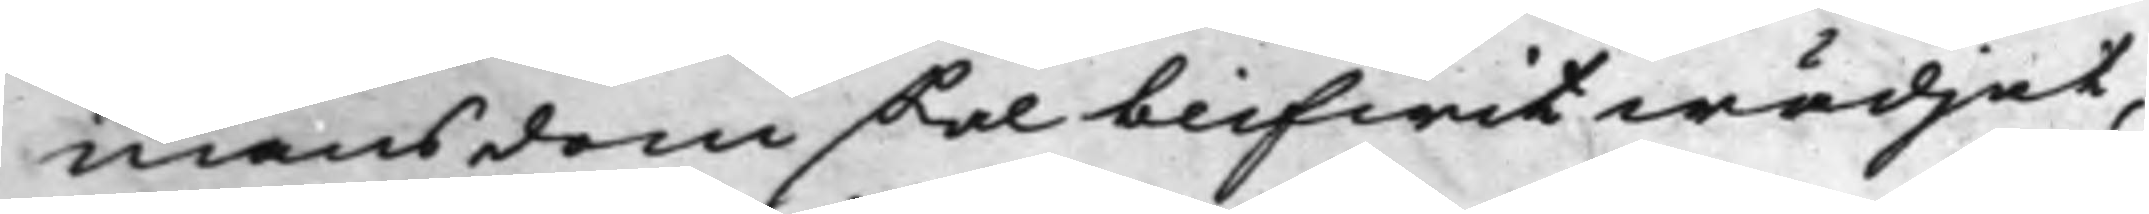mansdom skal blifwit wädjat,
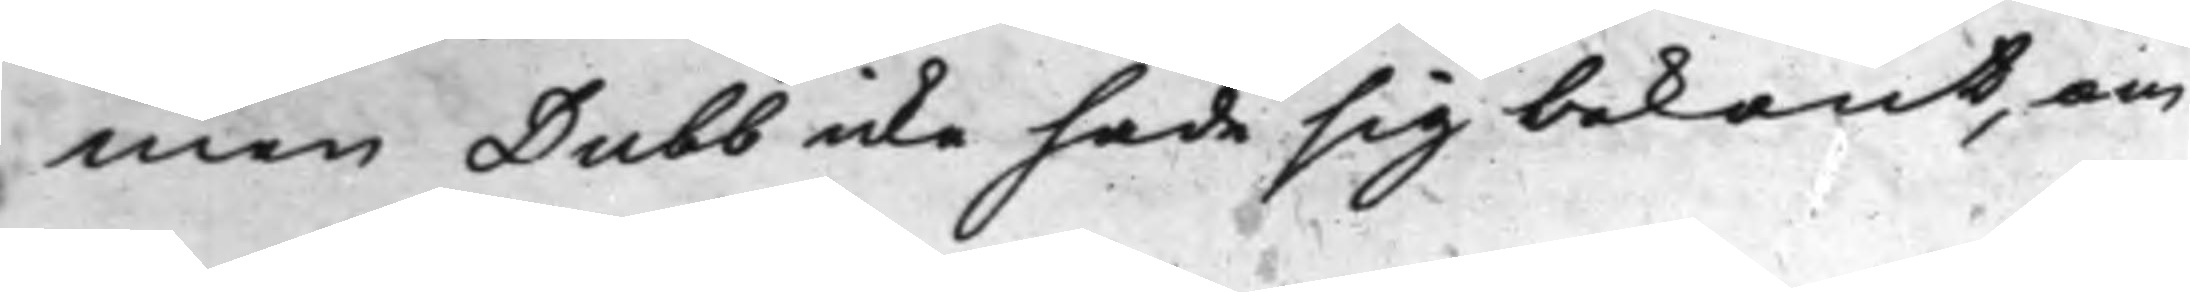men Dubb icke hade sig bekant, om
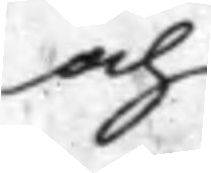och
